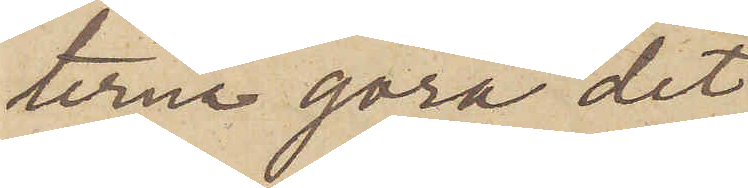terna göra det
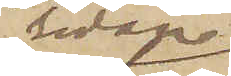sedan
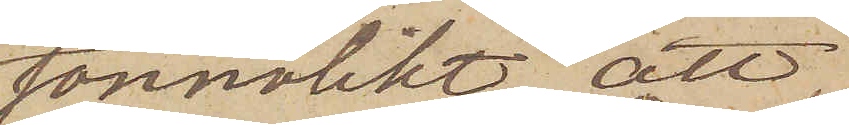sannolikt, att
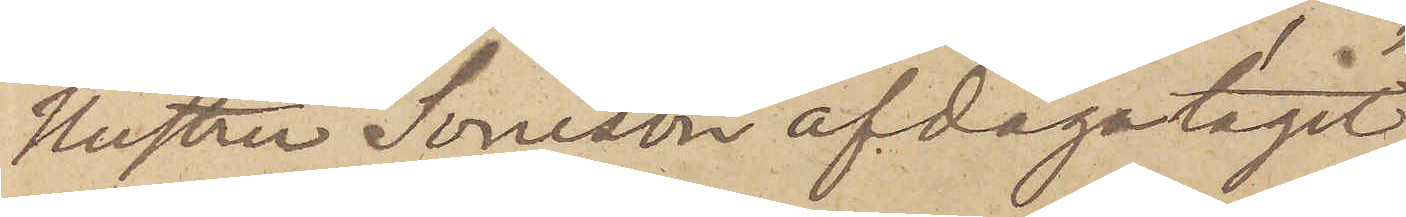Hustru Soneson afdagatagit
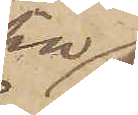sin
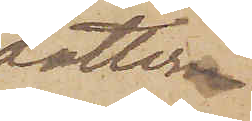dotter
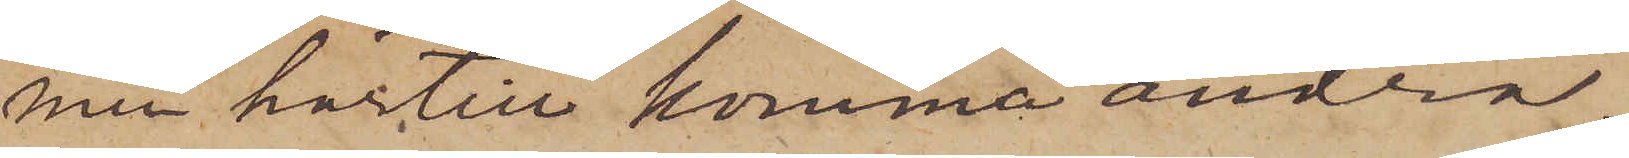men härtill komma andra.
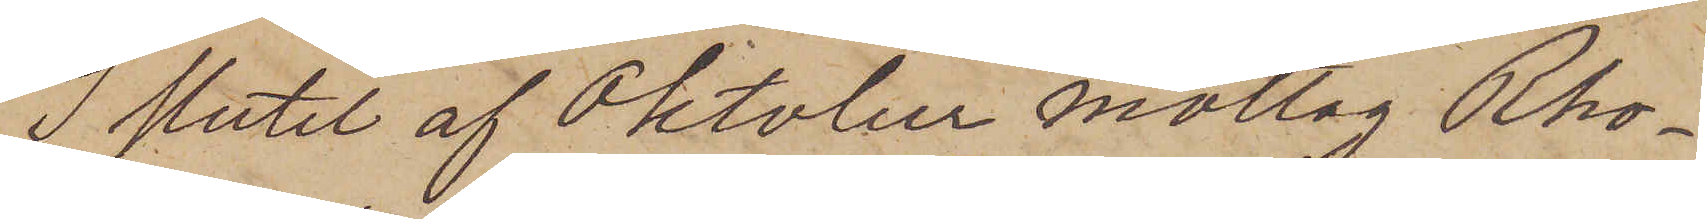I slutet af Oktober mottog Rho¬
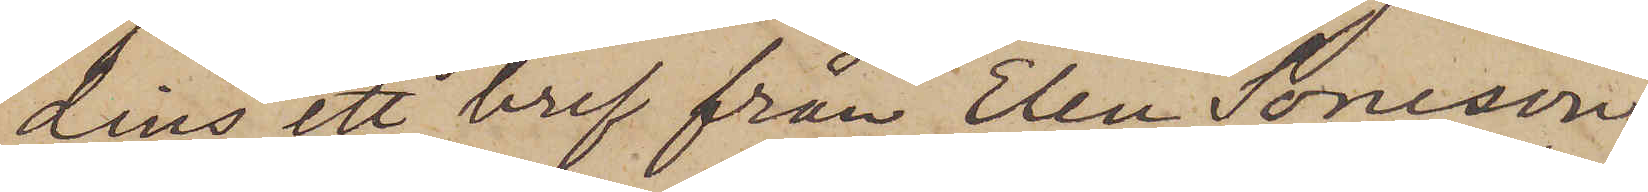dins ett bref från "Elen Soneson",
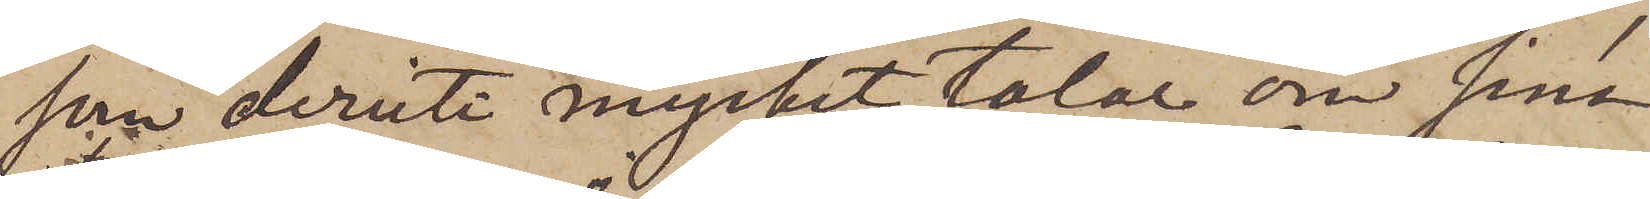som deruti mycket talar om sina
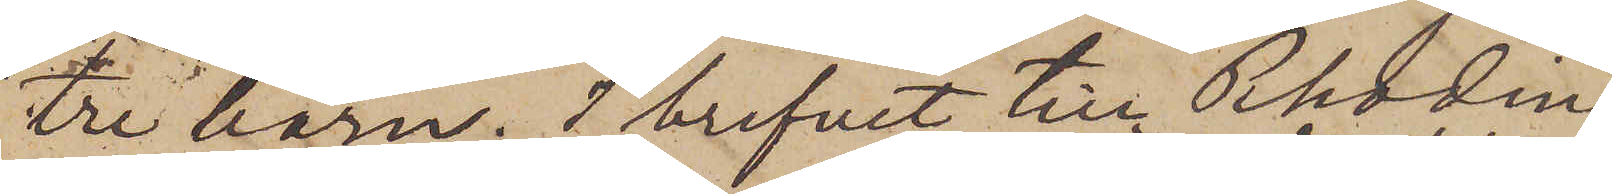tre barn. I brefvet till Rhodins
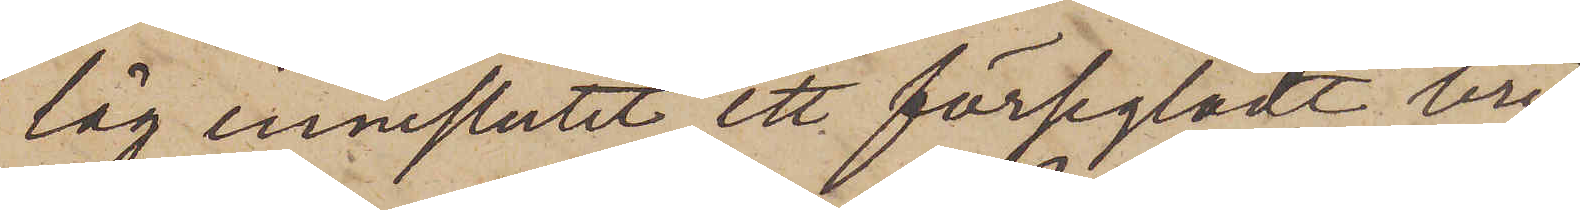låg inneslutet ett försegladt bref
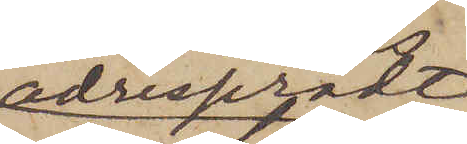adresserat
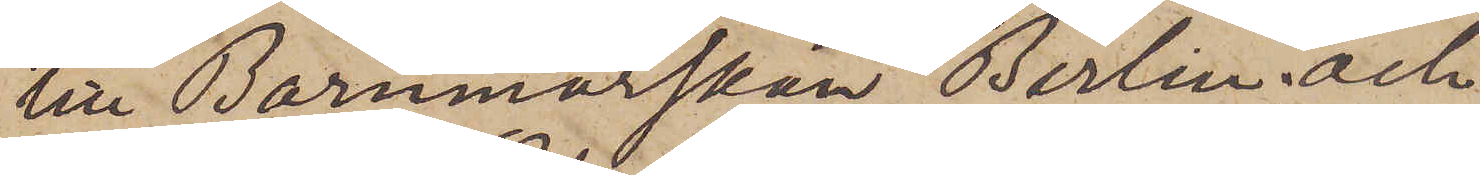till Bammorskan Berlin; och
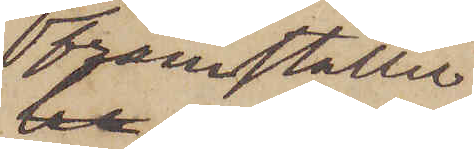framställer
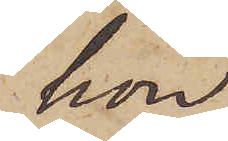hon
